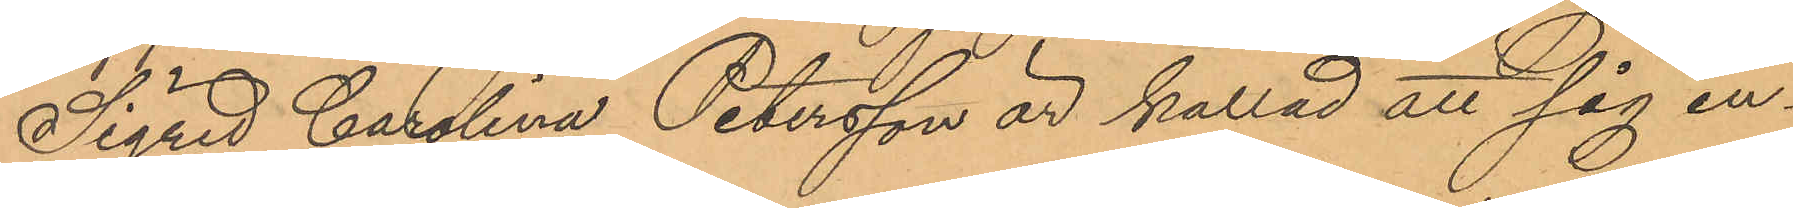Sigrid Carolina Petersson är kallad att sig in¬
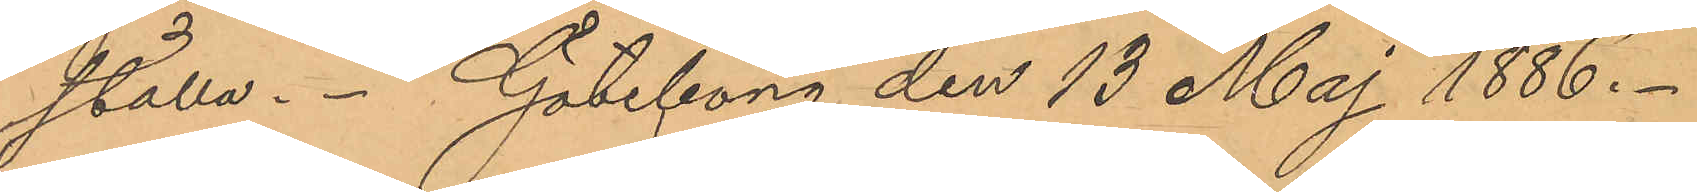ställa. Göteborg den 13 Maj 1886.
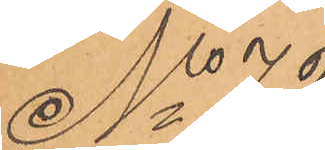No 72
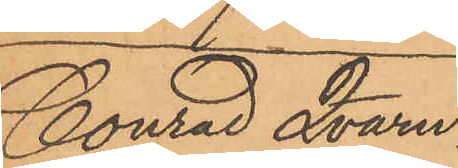Conrad Qvarn¬
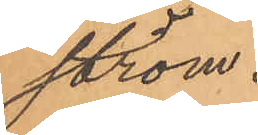ström.
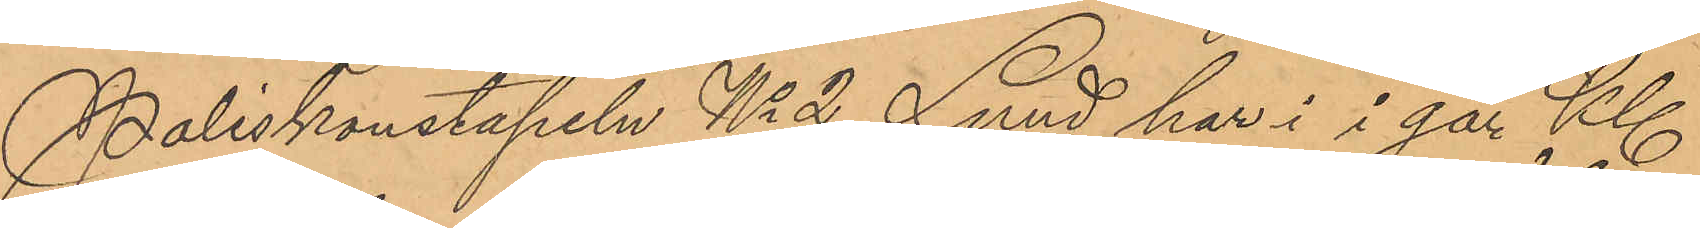Poliskonstapeln No 2 Lund har i i går Kl
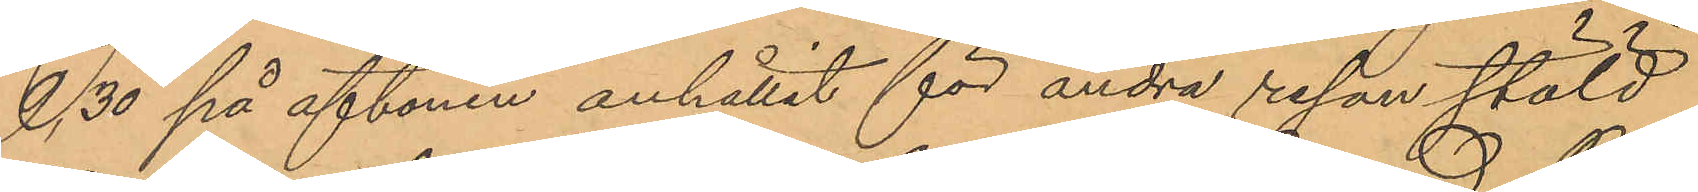9. 30 på aftonen anhållit för andra resan stöld
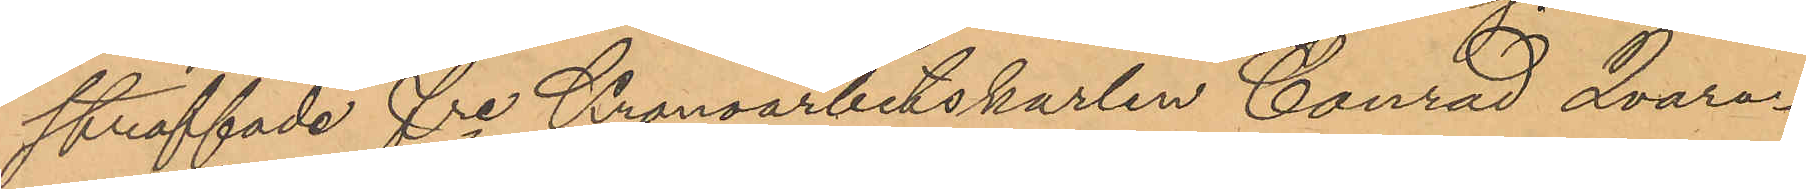straffade fre Kronoarbetskarlen Conrad Qvarn¬
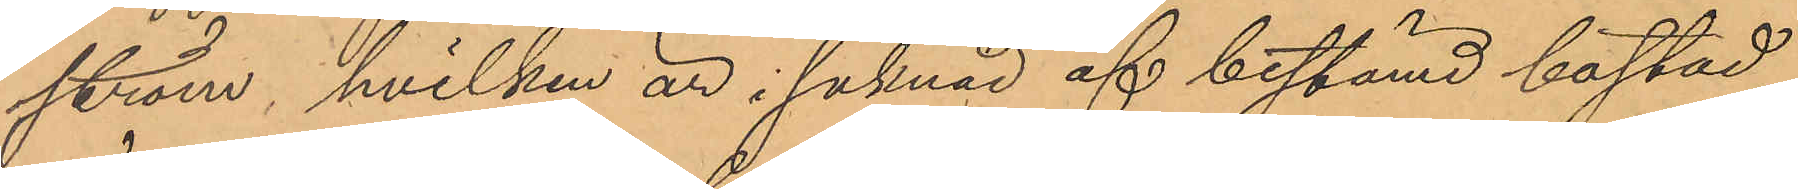ström, hvilken är i saknad af bestämd bostad,
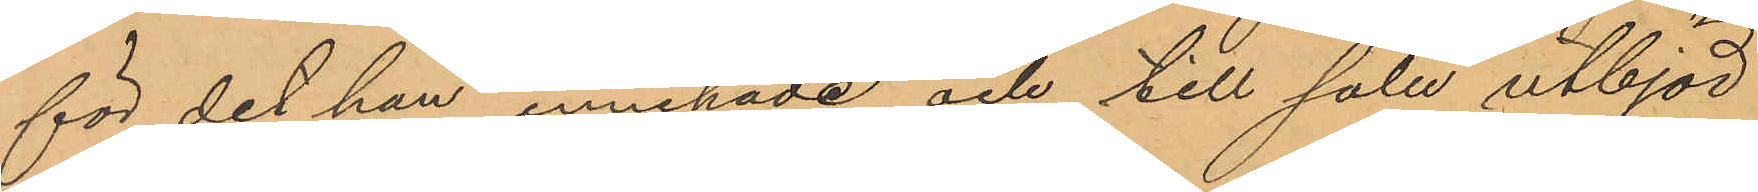för det han innehade och till salu utbjöd
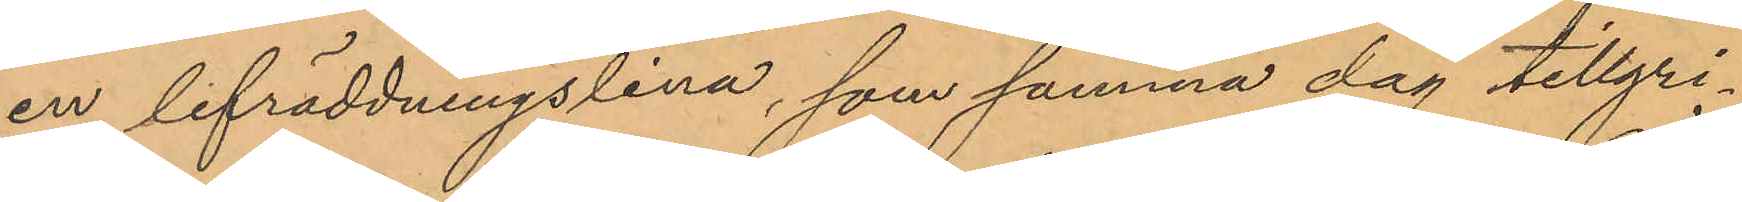en lifräddningslina, som samma dag tillgri¬
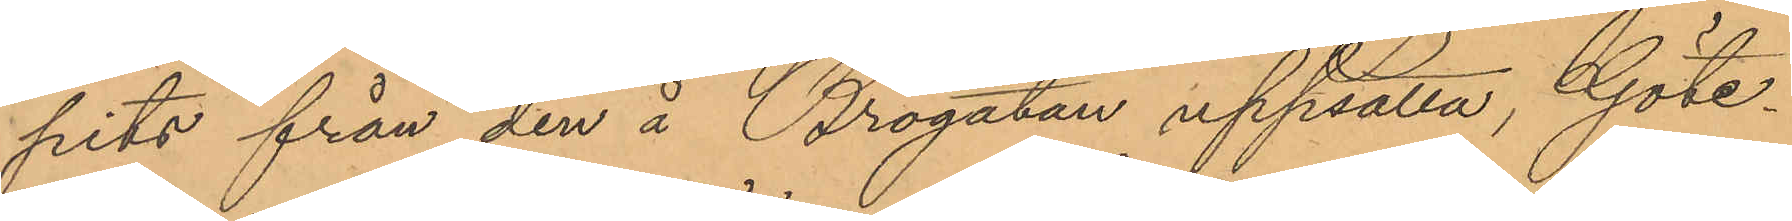pits från den å Brogatan uppsatta, Göte¬
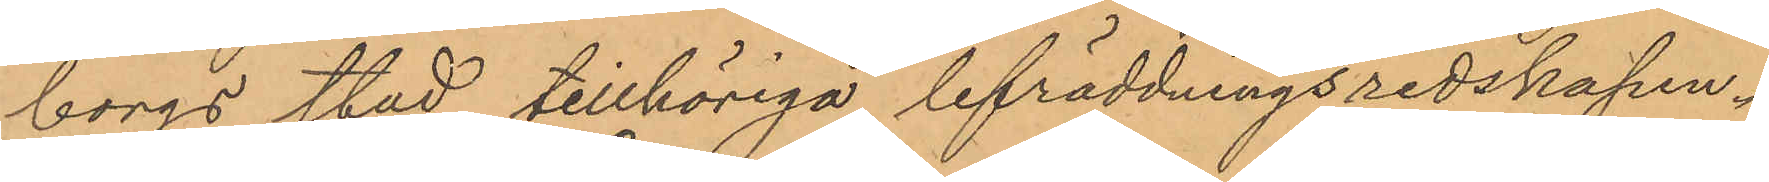borgs stad tillhöriga lifräddningsredskapen.
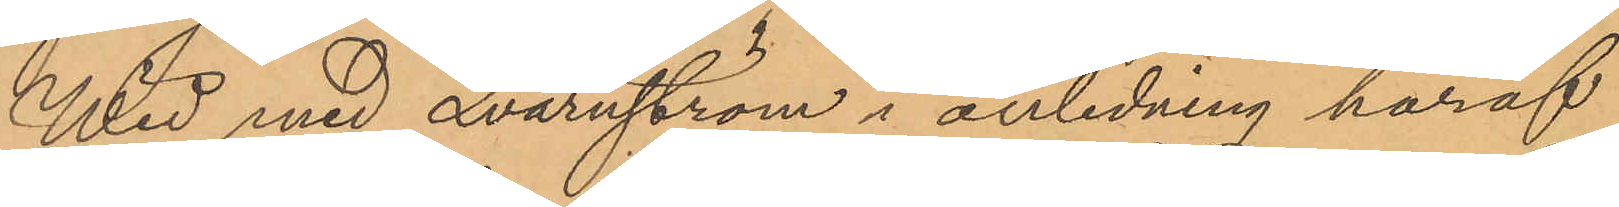Wid med Qvarnström i anledning häraf
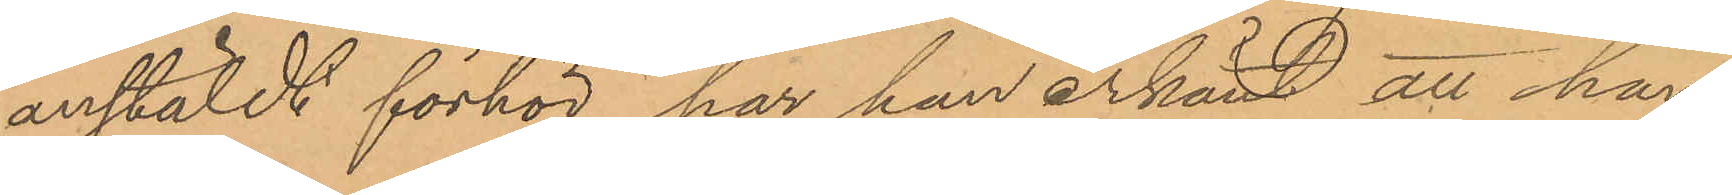anstäldt förhör, har han erkänt att han,
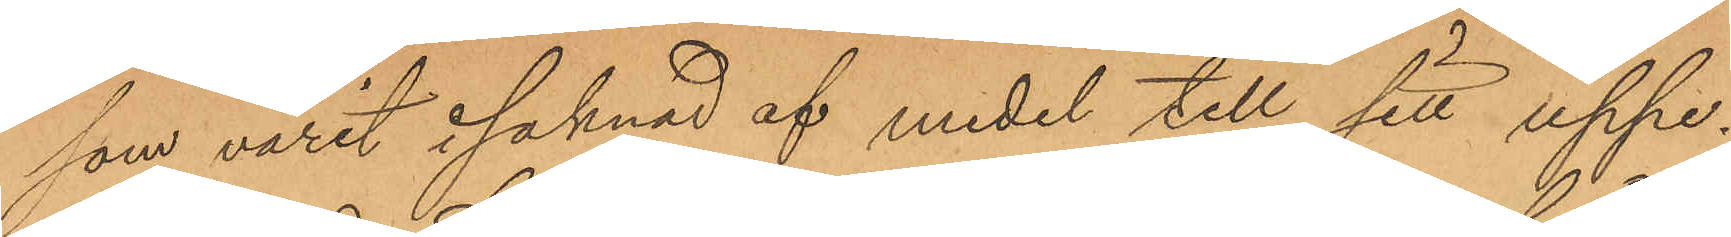som varit i saknad af medel till sitt uppe¬
